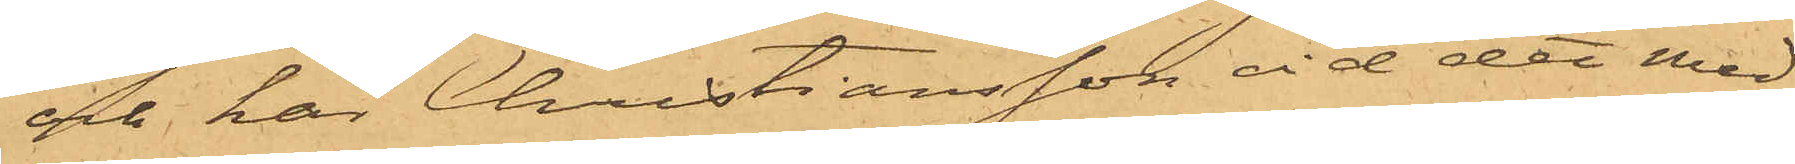och har Christiansson vid det med
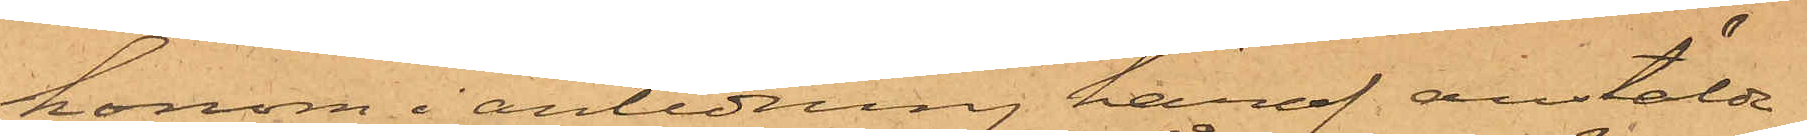honom i anledning häraf anstälda
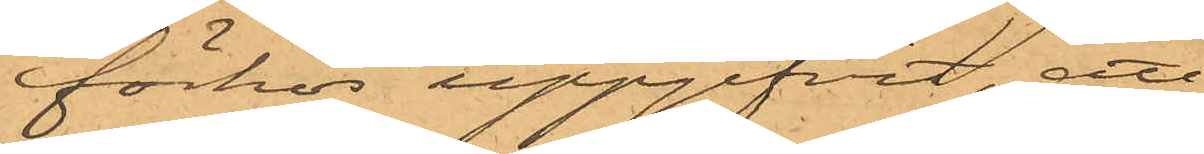förhör uppgifvit, att
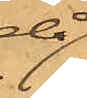då
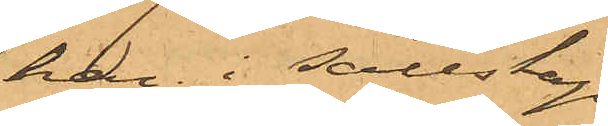han i sällskap
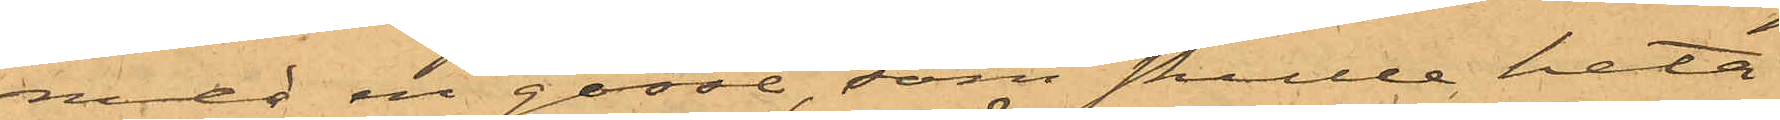med en gosse, som skulle heta
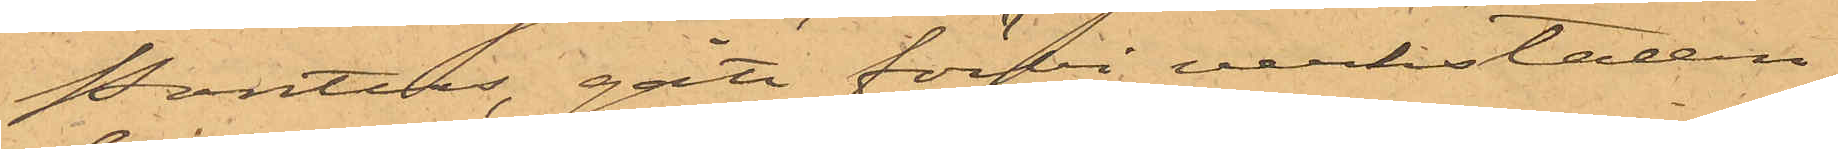Pontus, gått förbi verkstaden,
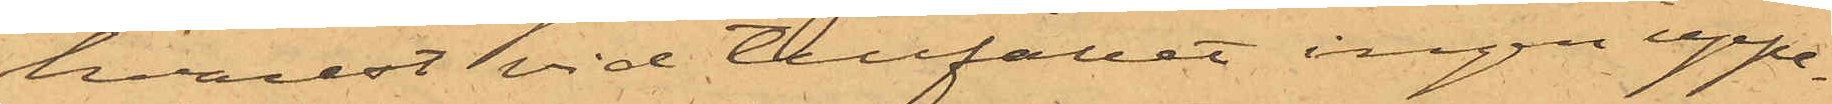hvarest vid tillfället ingen uppe¬
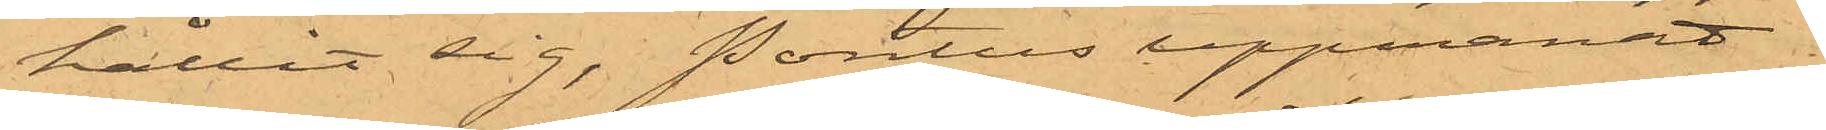hållit sig, Pontus uppmanat
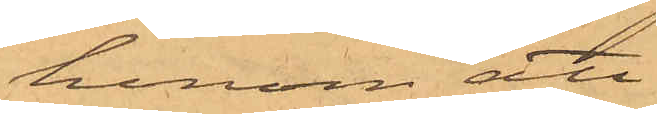honom att
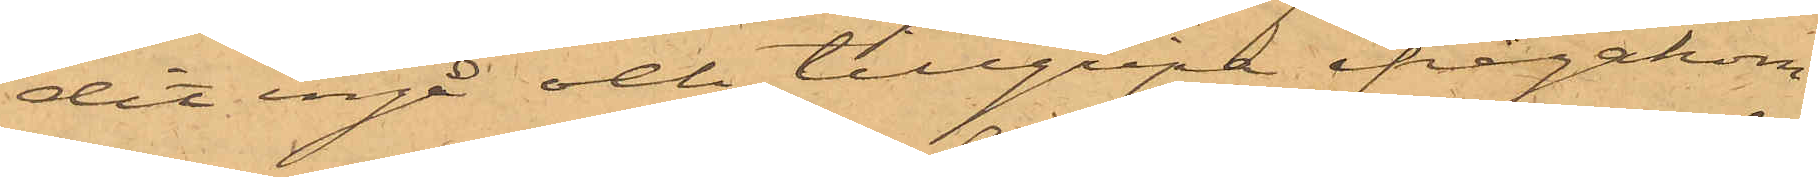dit ingå och tillgripa ifrågakom¬
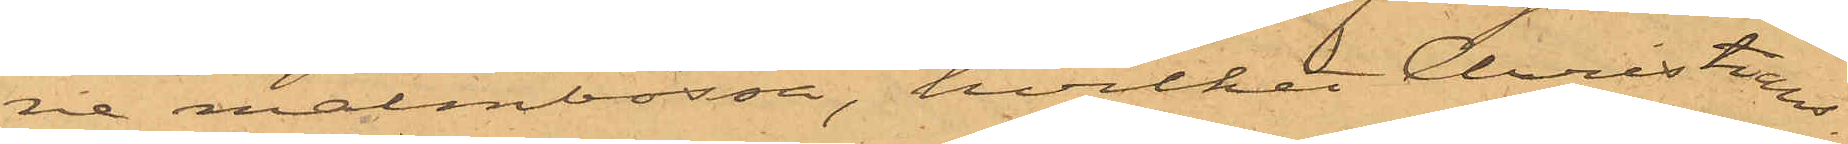ne malmbössa, hvilket Christians¬
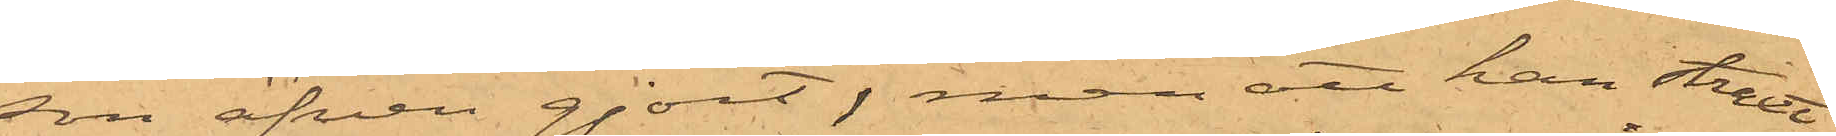son äfven gjort, men att han straxt,
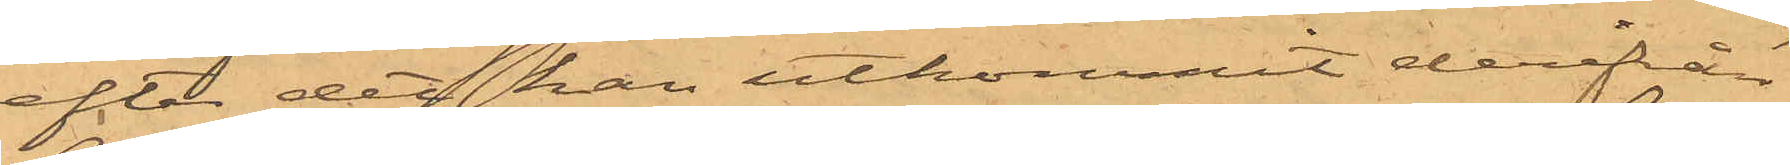efter det han utkommit derifrån
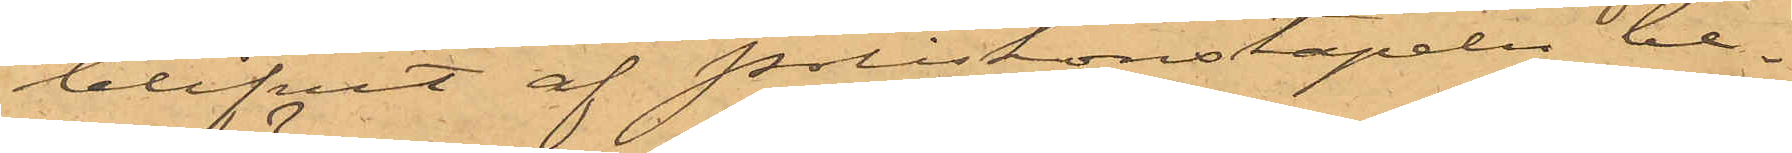blifvit af Poliskonstapeln be¬
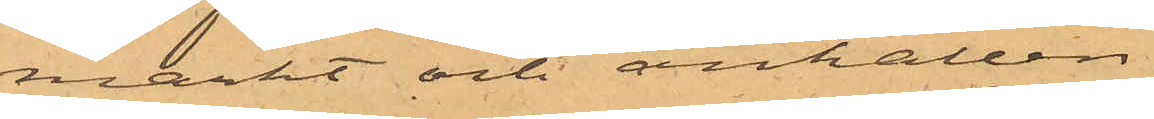märkt och anhållen.
